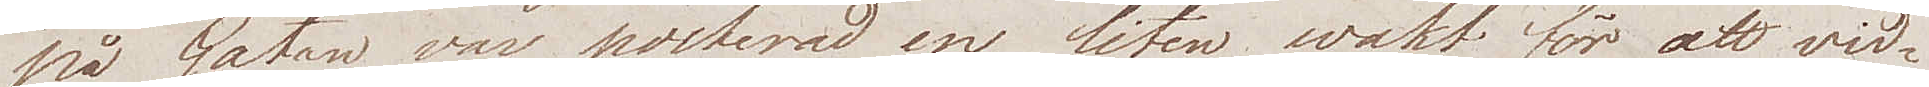på Gatan var posterad en liten wakt för att vid¬
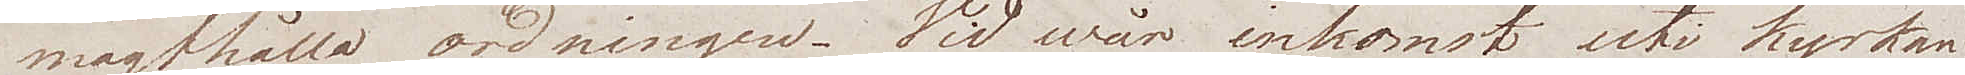magthålla ordningen. Vid wår ankomst uti kyrkan
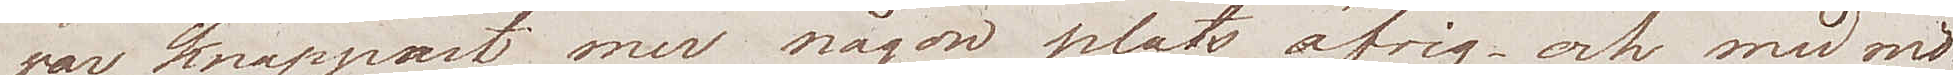var knappast mer någon plats öfrig – och med mö¬
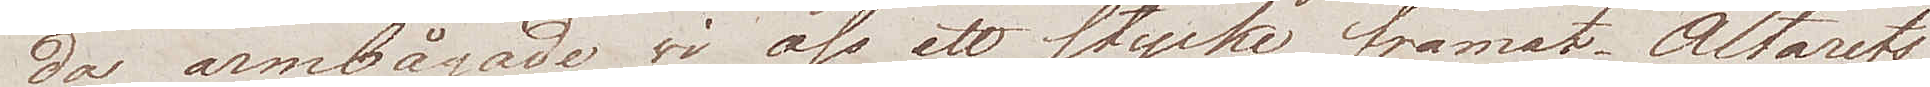da armbågade wi oss ett stycke framåt. Altarets
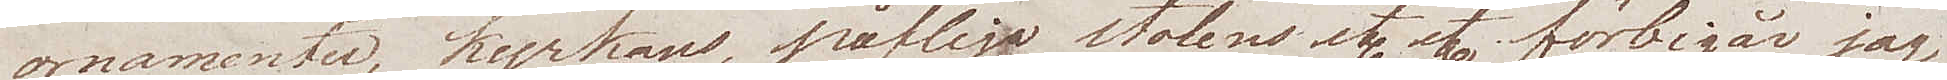ornamenter, kyrkans, påfliga stolens etc etc förbigår jag
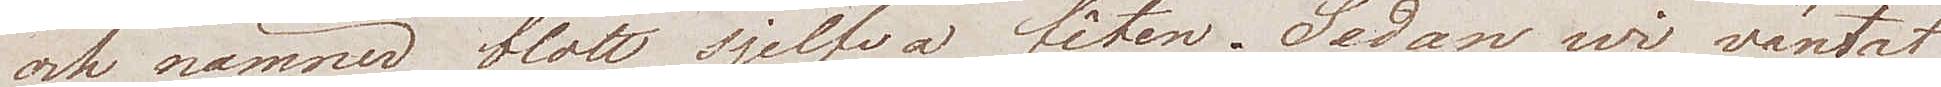och nämner blott sjelfva fêten. Sedan wi väntat
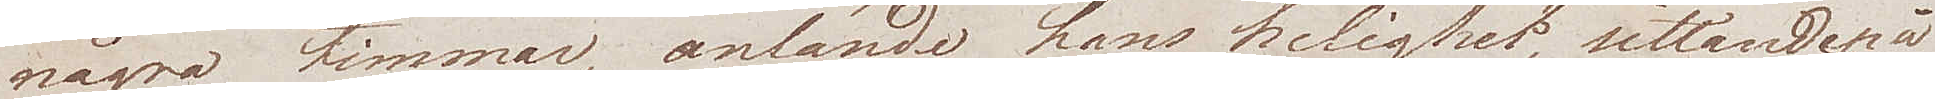några timmar, anlände hans helighet, sittande på
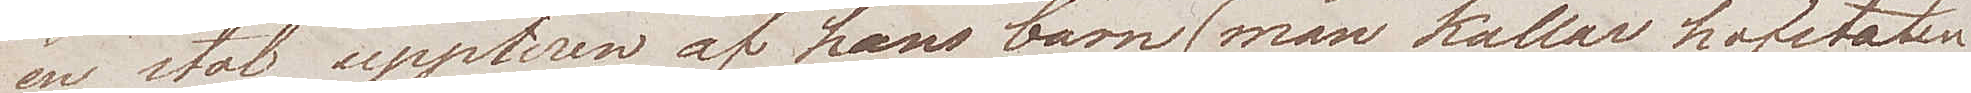en stol, uppburen af hans barn (man kallar hofstaten
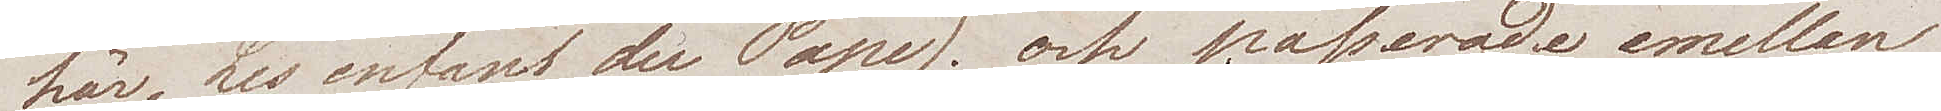här, Les Enfants du Pape), och passerade emellan
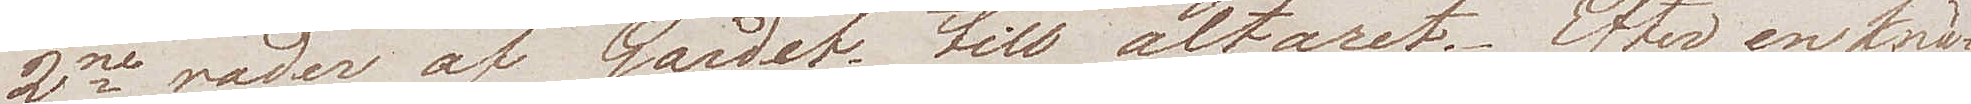2ne rader af Gardet till altaret. Efter en knä¬
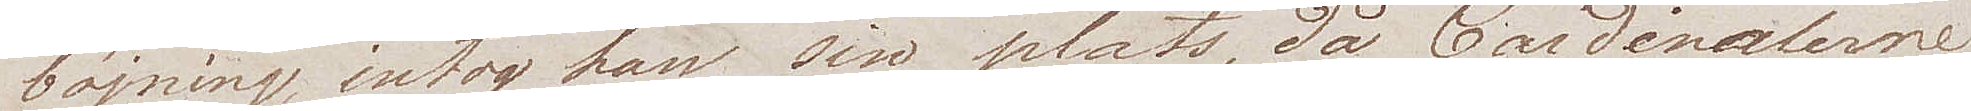böjning, intog han sin plats, då Cardinalerne
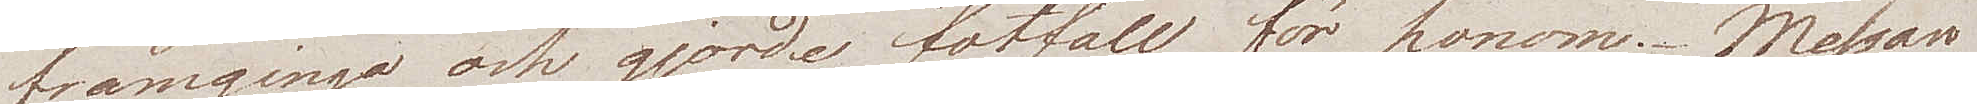framgingo och gjorde fotfall för honom. Messan
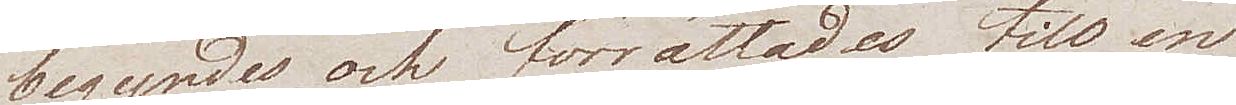begyndes och förrättades tilll en 
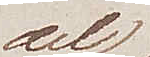del
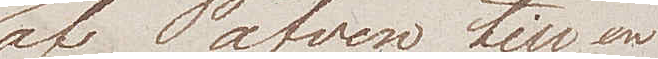af Påfven till en
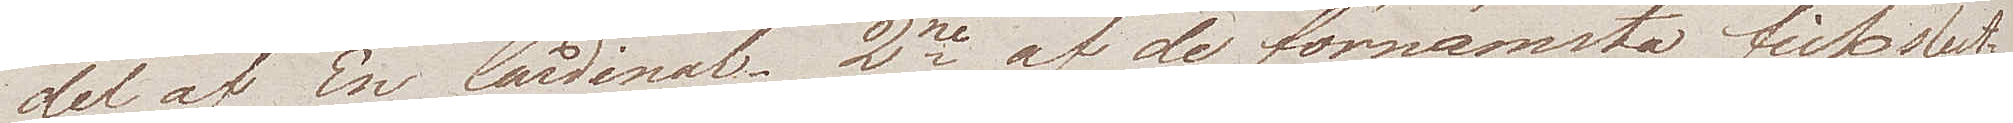del av En Cardinal. 2ne af de förnämsta fick slut¬
